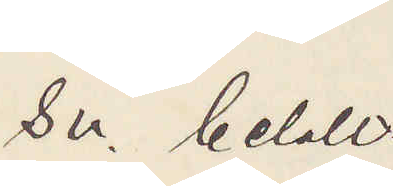Sv. betalt.
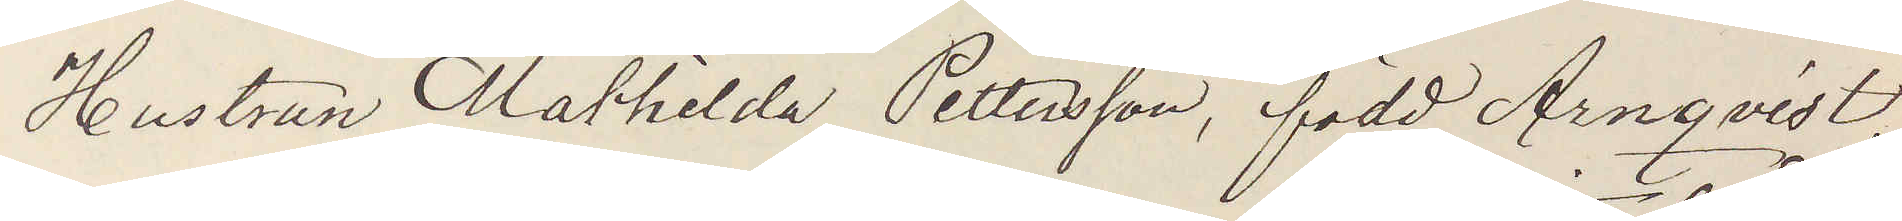Hustrun Mathilda Pettersson, född Arnqvist,
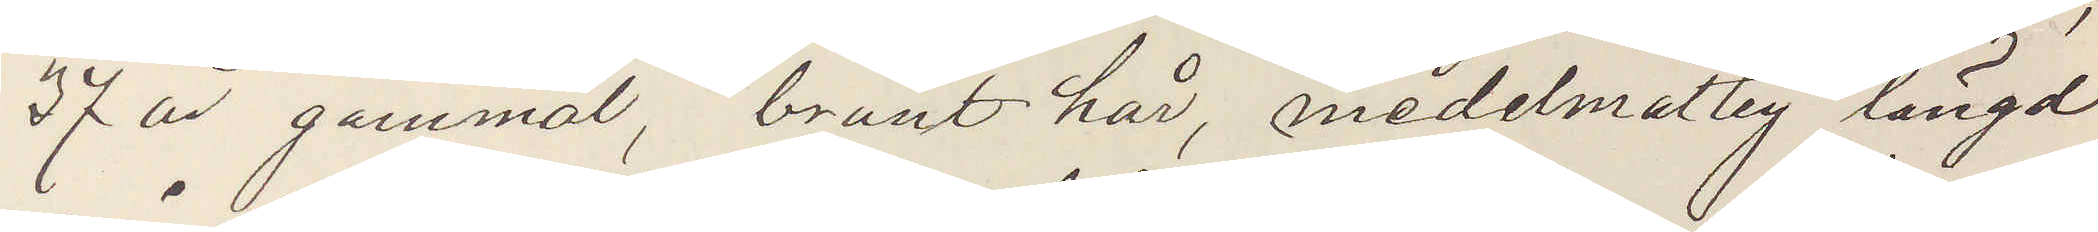37 år gammal, brunt hår, medelmåtlig längd
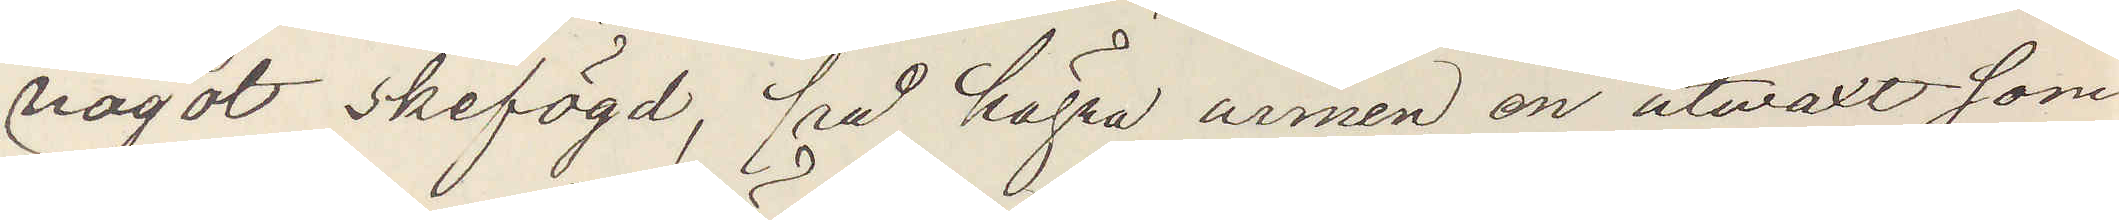något skefögd, på högra armen en utväxt som
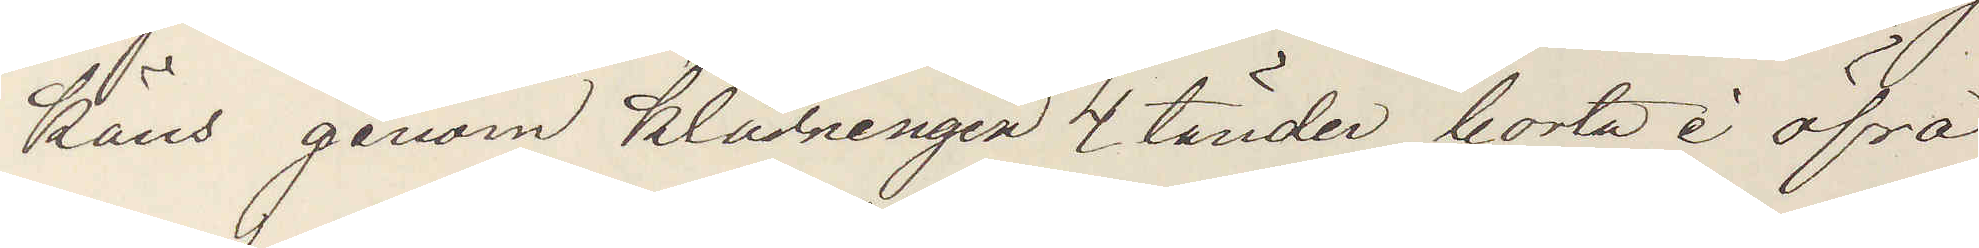käns genom klädningen 4 tänder borta i öfra
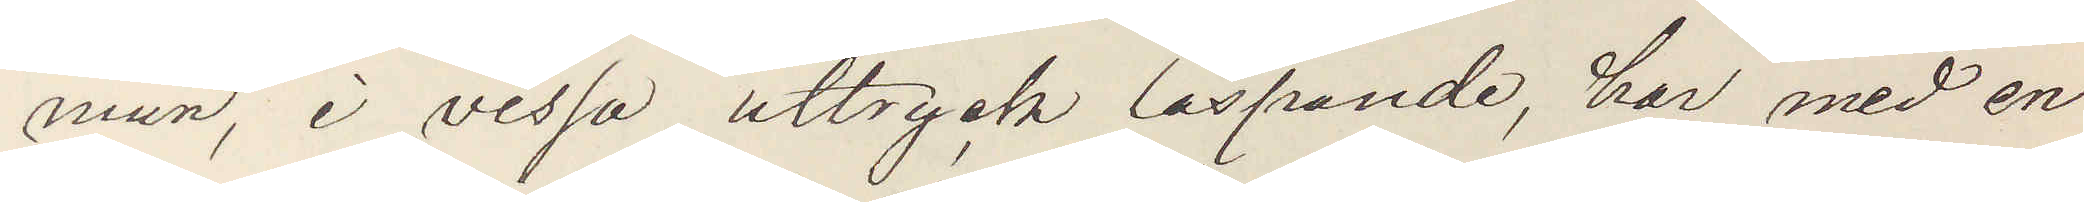mun, i vissa uttryck läspande, har med en
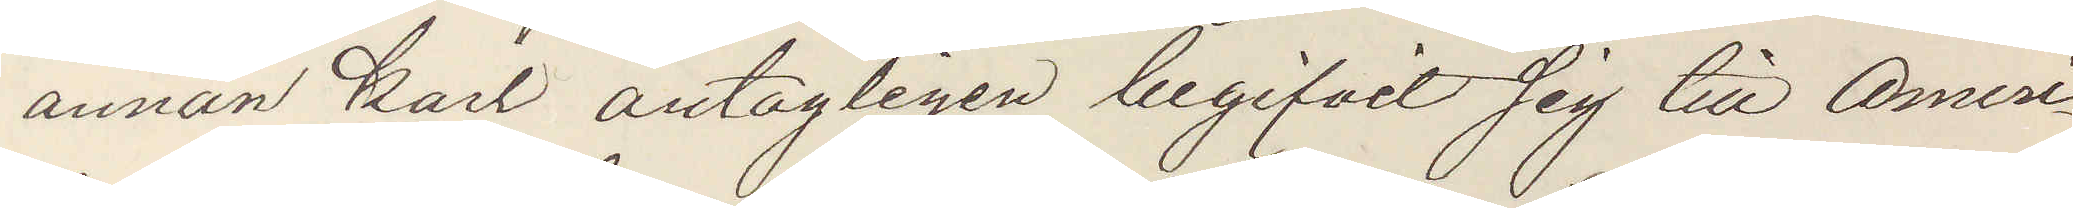annan karl antagligen begifvit sig till Ameri¬
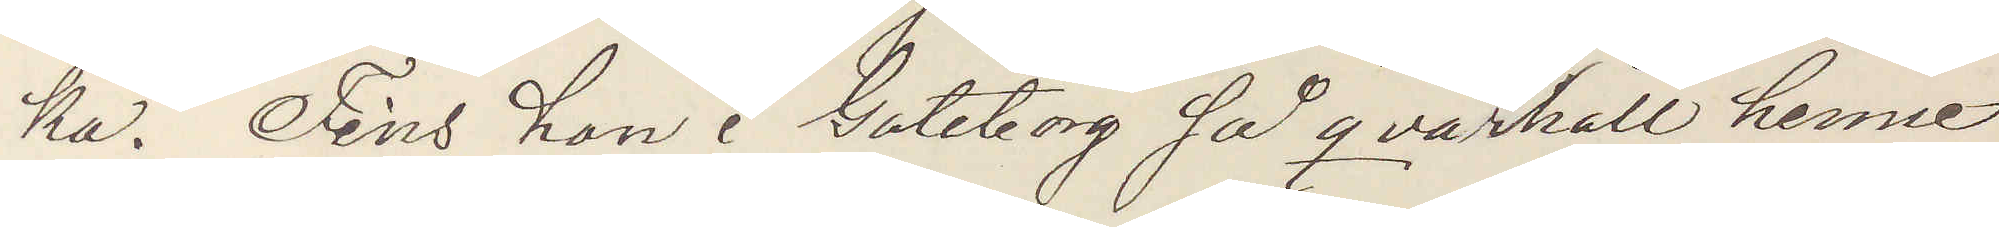ka. Fins hon i Göteborg så qvarhåll henne
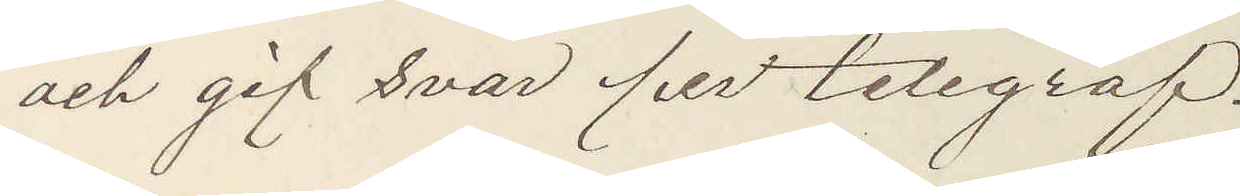och gif svar per telegraf.
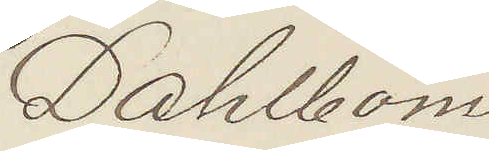Dahlbom
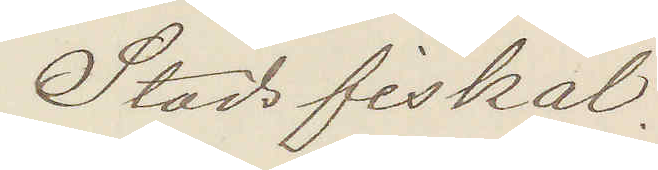Stadsfiskal.
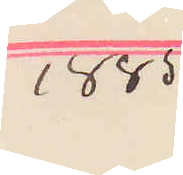1885
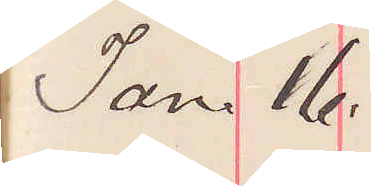Jan. 16.
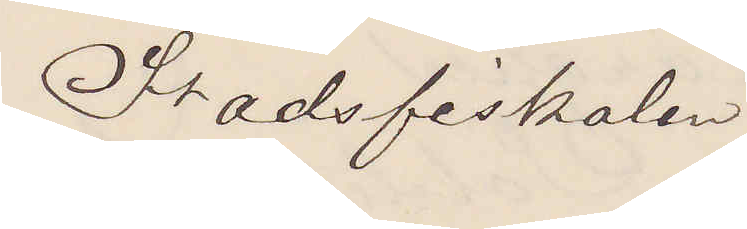Stadsfiskalen
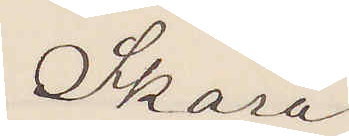Skara
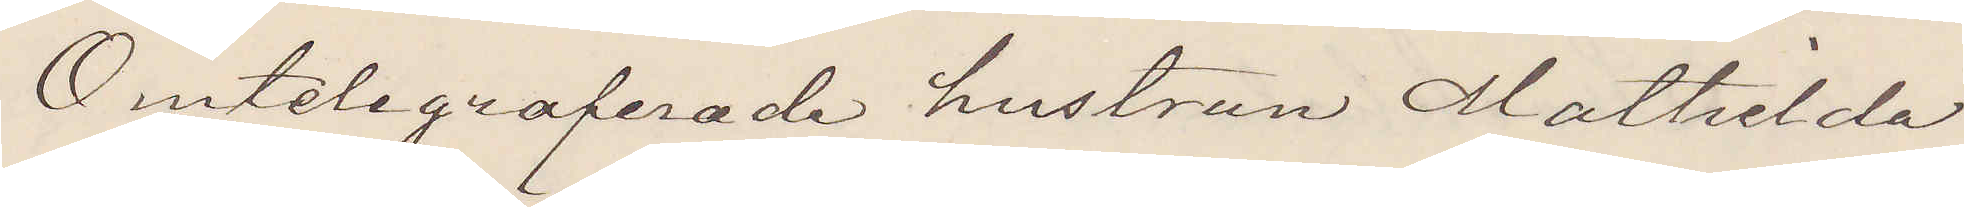Omtelegraferade hustrun Mathilda
